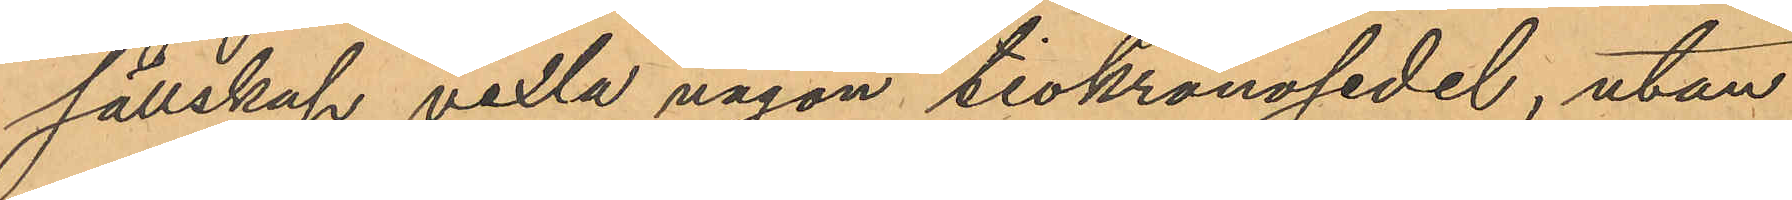sällskap vexla någon tiokronosedel, utan
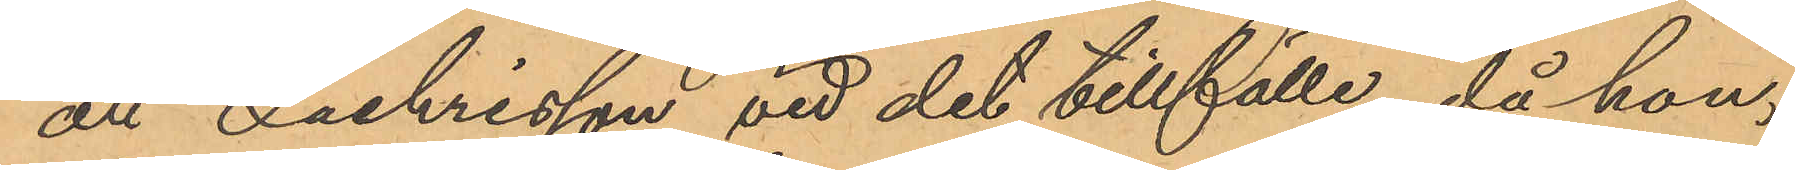att Zachrisson vid det tillfälle, då hon,
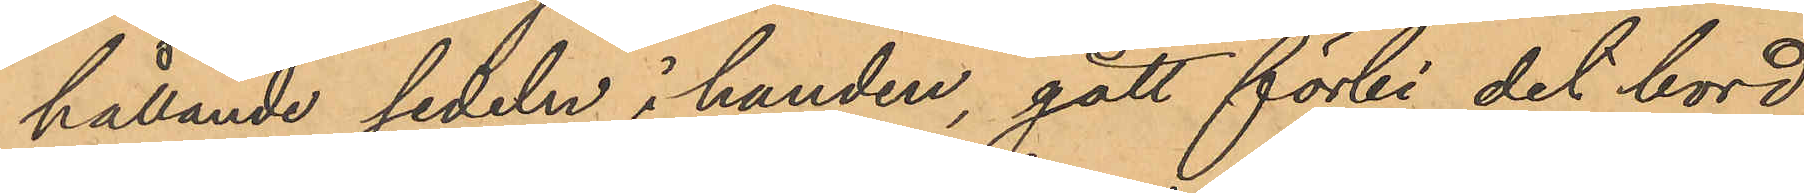hållande sedeln i handen, gått förbi det bord
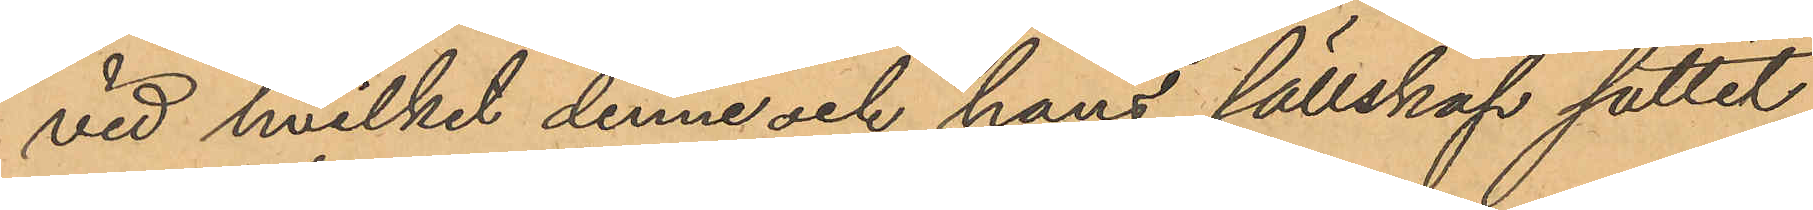vid hvilket denne och hans sällskap suttit
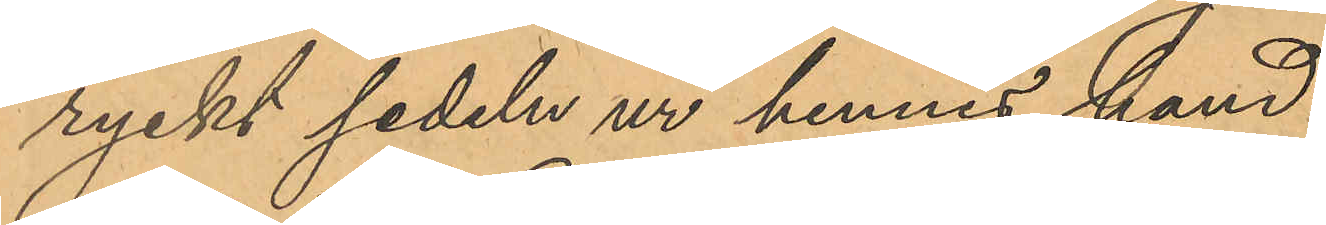ryckt sedeln ur hennes hand.
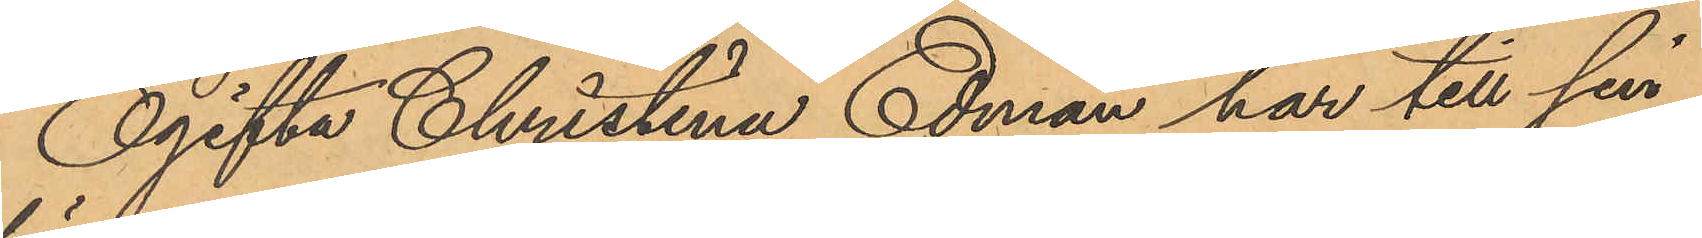Ogifta Christina Edman har till sin
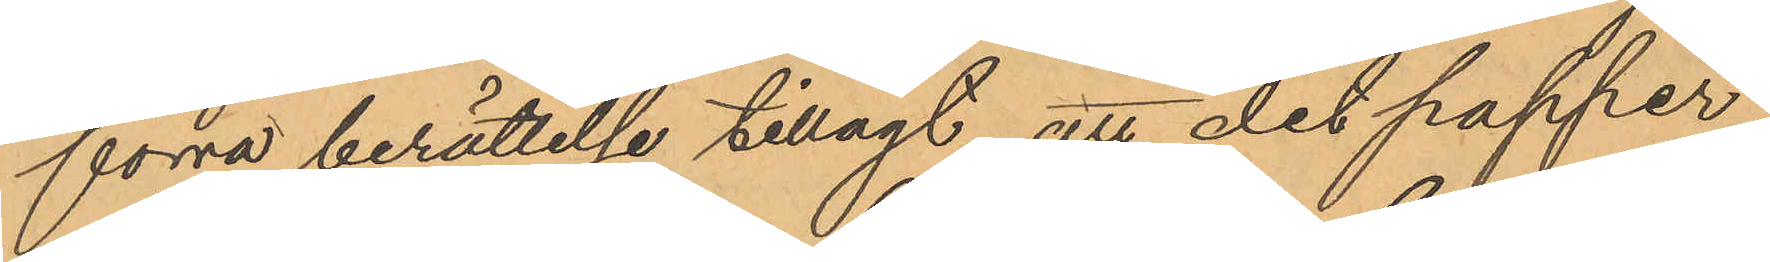förra berättelse tillagt, att det papper
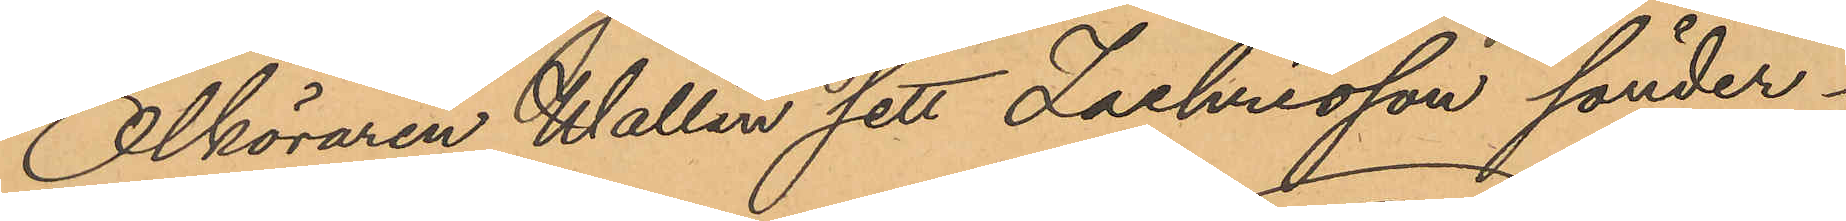Ölköraren Wallin sett Zachrisson sönder¬
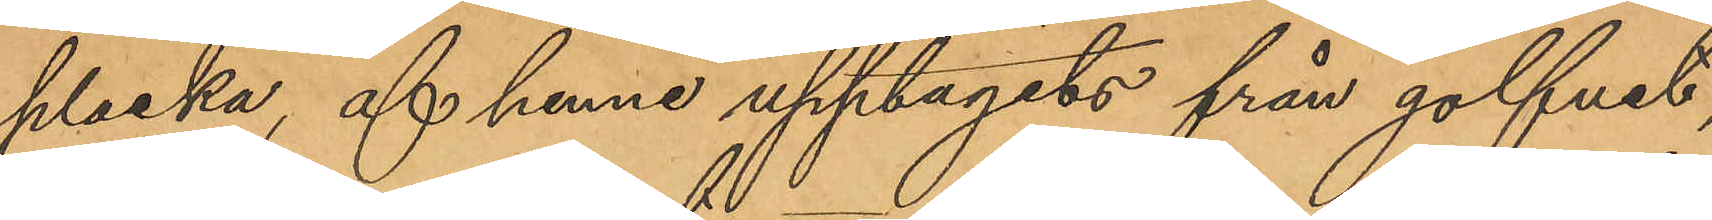plocka, af henne upptagits från golfvet,
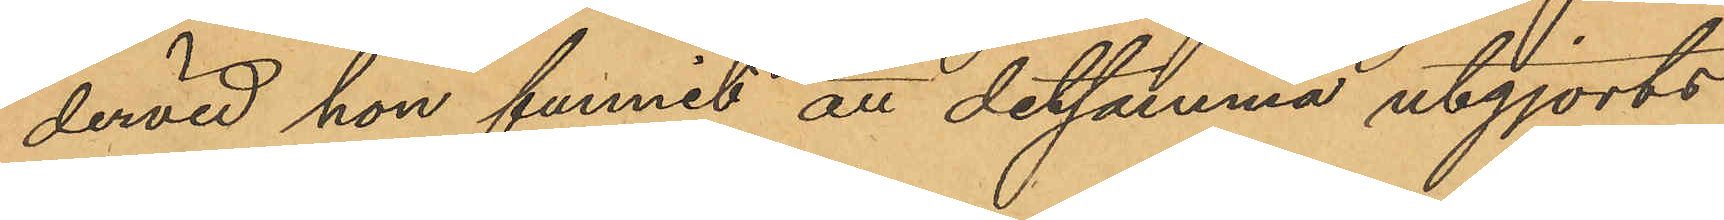dervid hon funnit att detsamma utgjorts
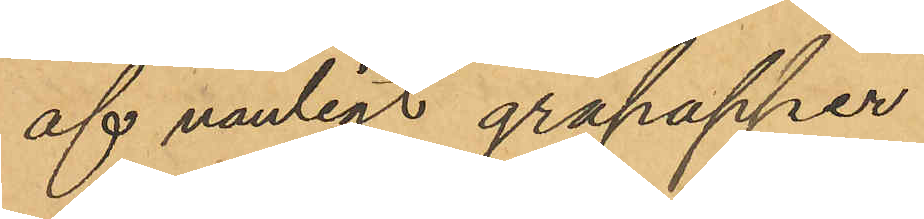af vanligt gråpapper.
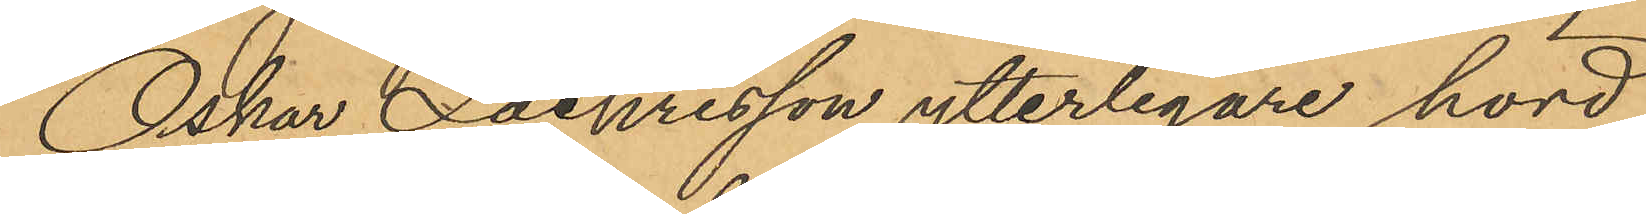Oskar Zackrisson, ytterligare hörd,
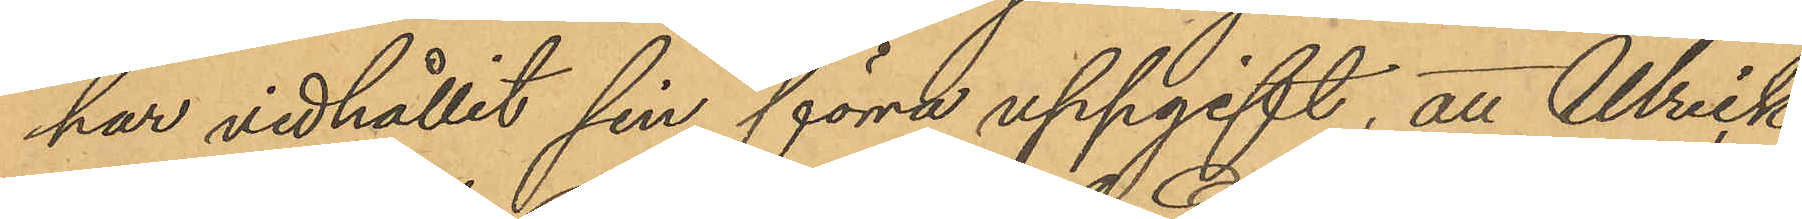har vidhållit sin förra uppgift, att Ulrik
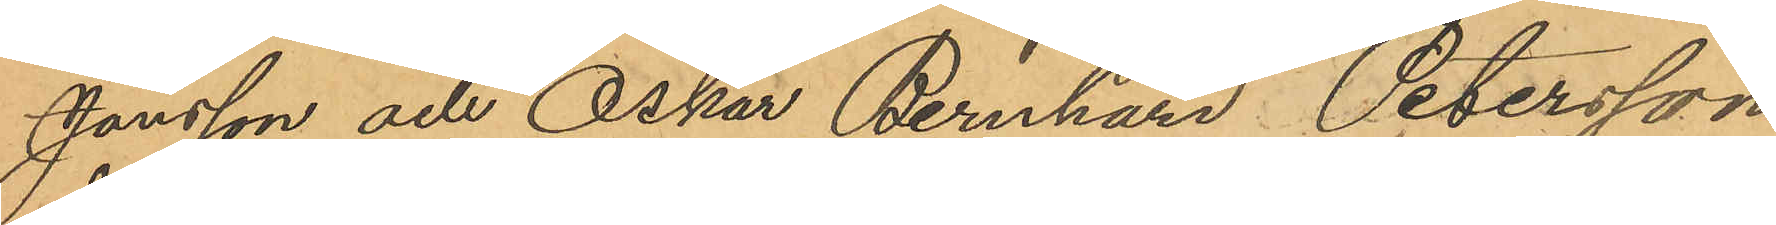Jonsson och Oskar Bernhard Petersson
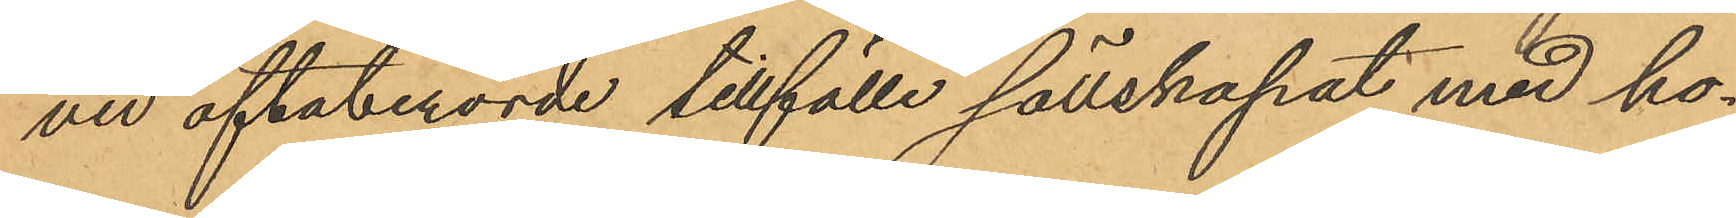ved oftaberörde tillfälle sällskapat med ho¬
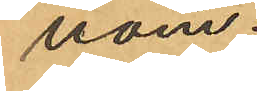nom.
